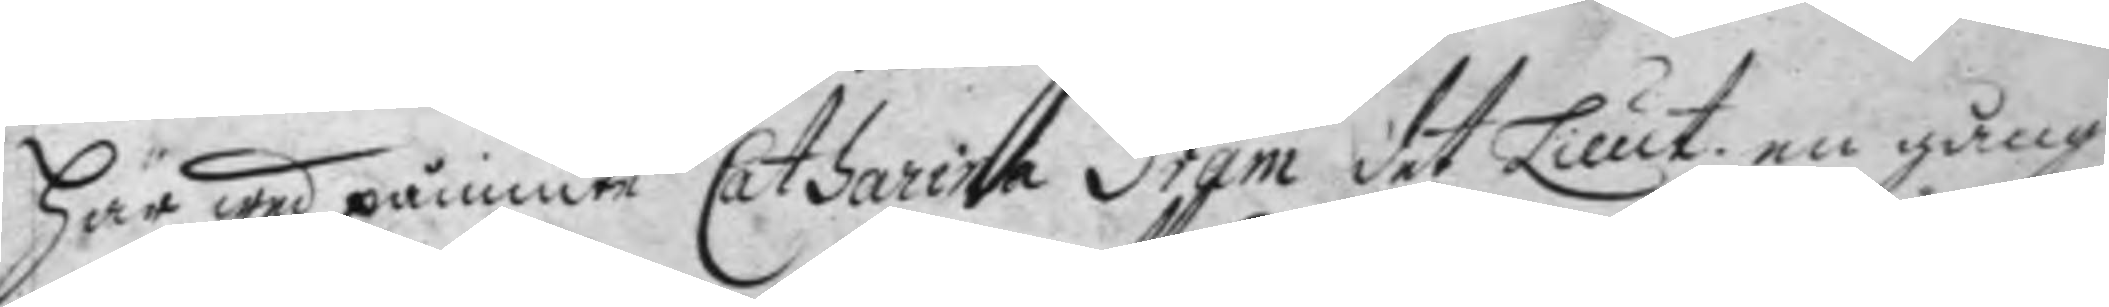här wed påminte Catharina Gram det Lieut. en gång
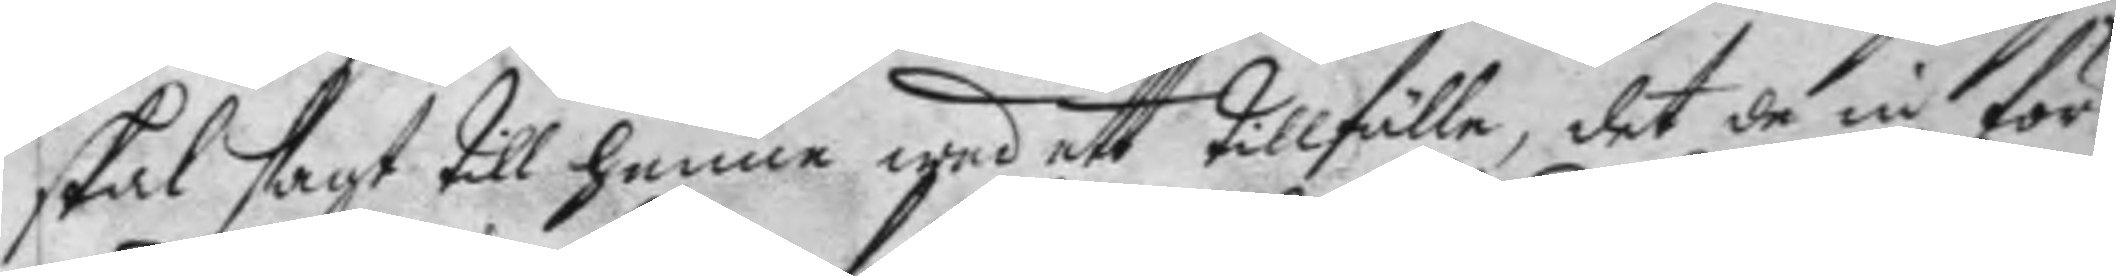skal sagt till henne wed ett tillfälle, det de in för
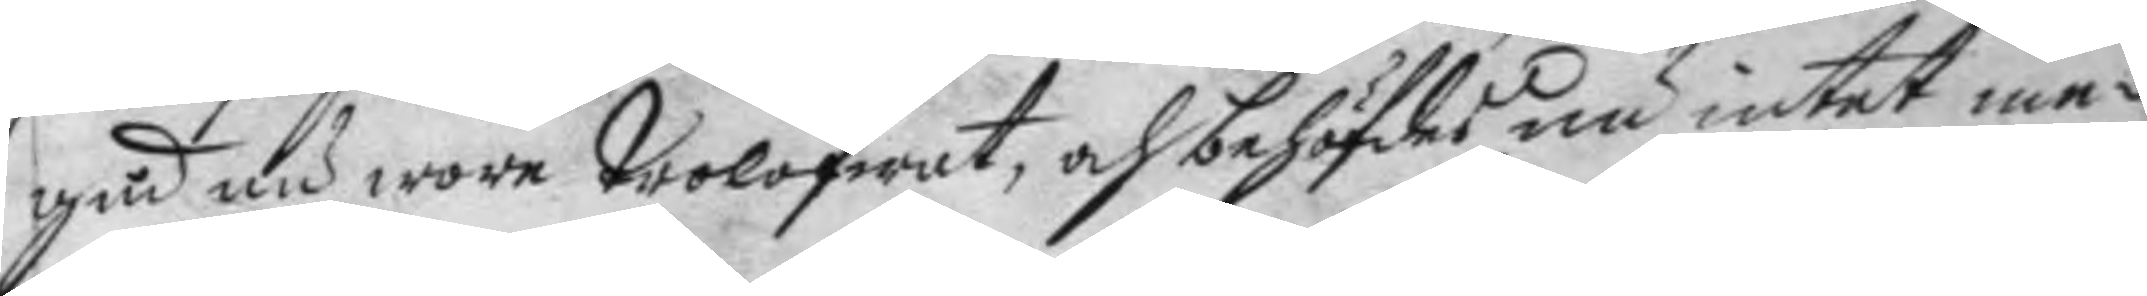gud nu wore trolofwat, och behöfdes nu intet me¬
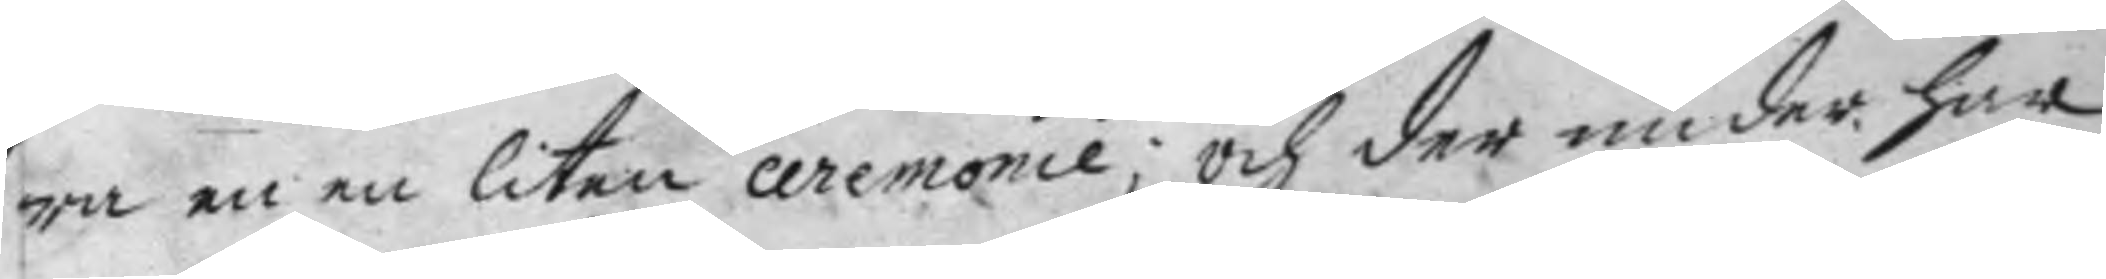ra en en liten ceremonie; och der under har
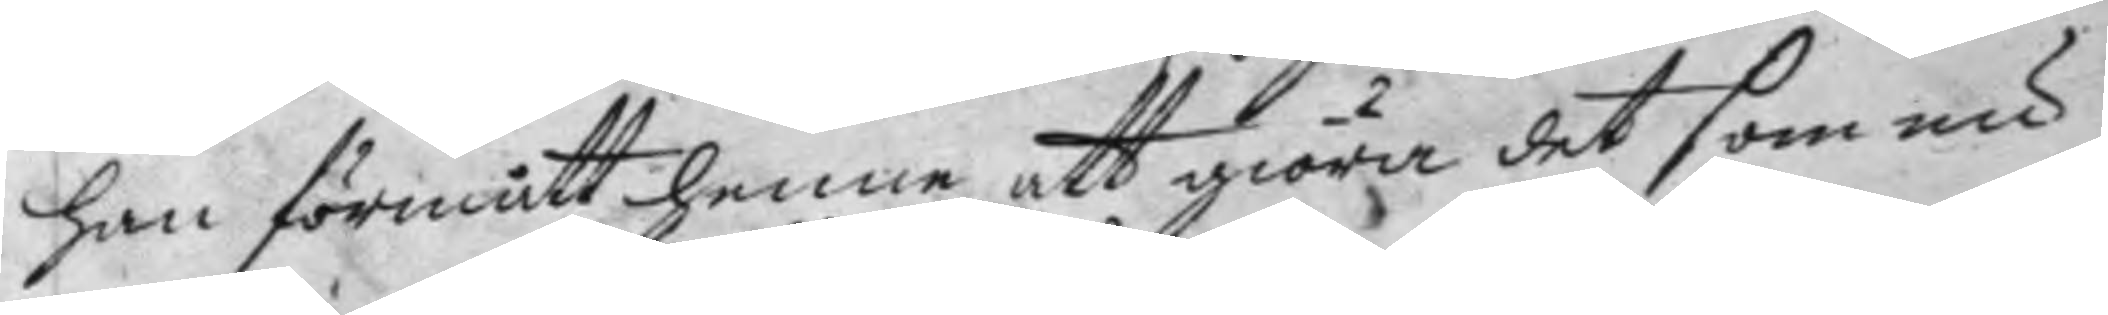han förmått henne att giöra det som nu
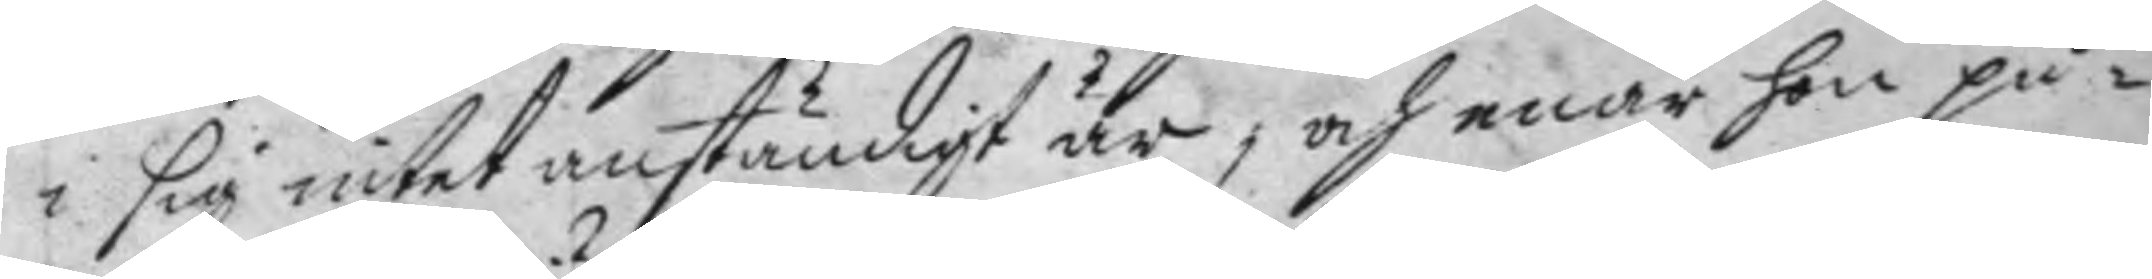i sig intet anständigt är, och enär hon på¬ 
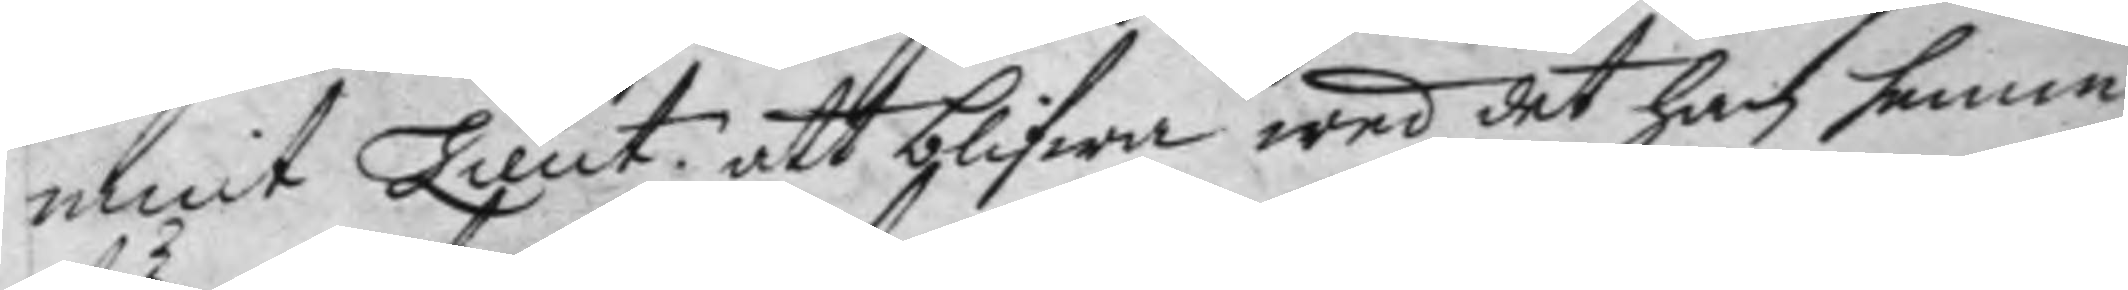mint Lieut. att blifwa wed det han henne
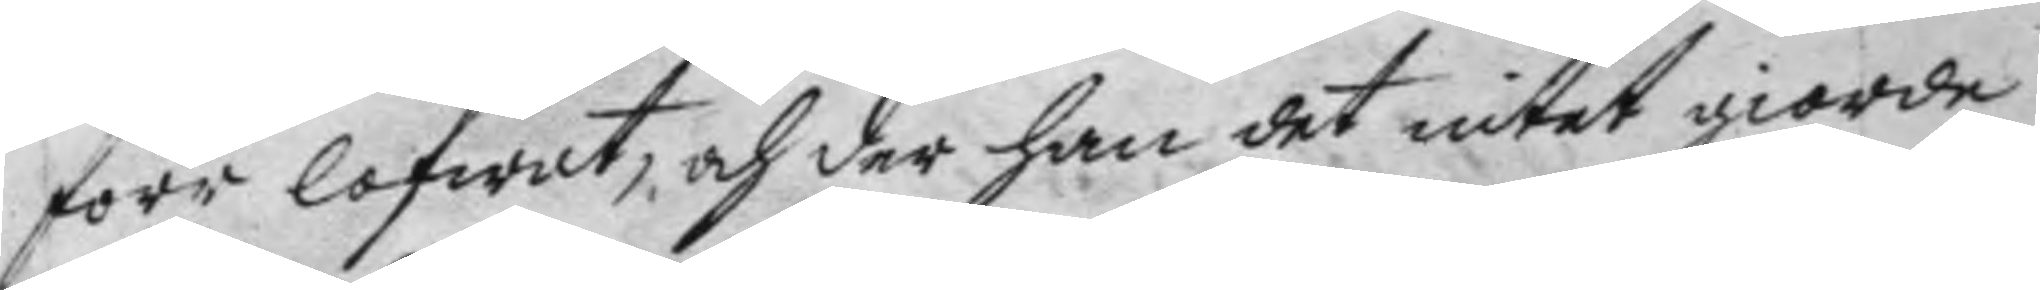förr lofwat, och der han det intet giorde
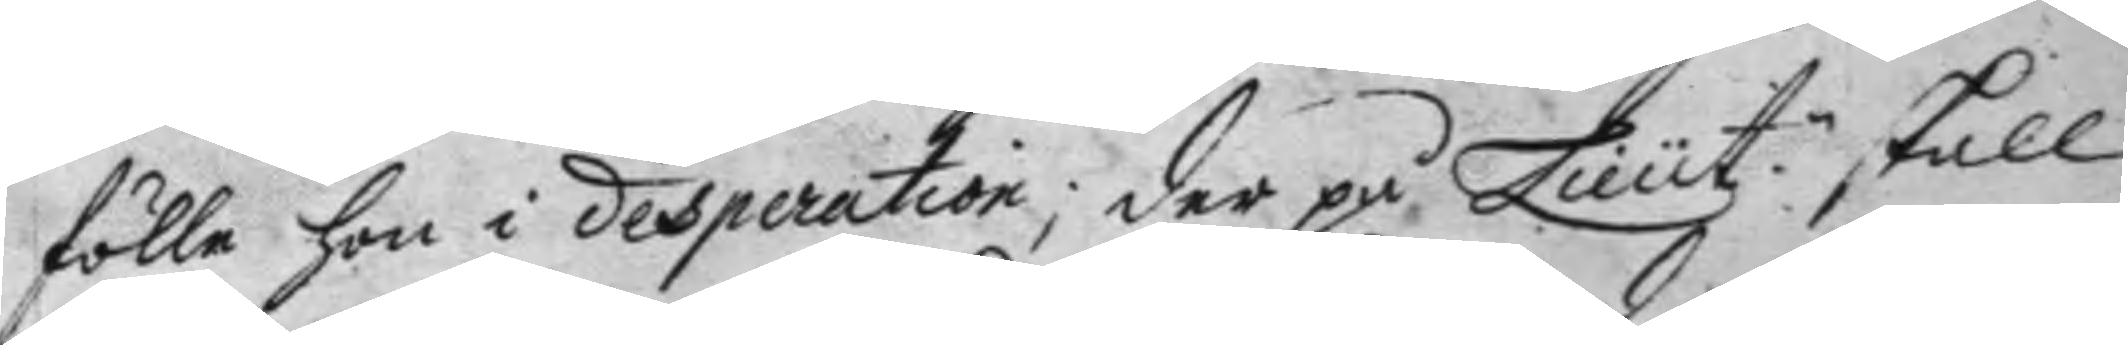fölle hon i desperation; der på Lieut. skall
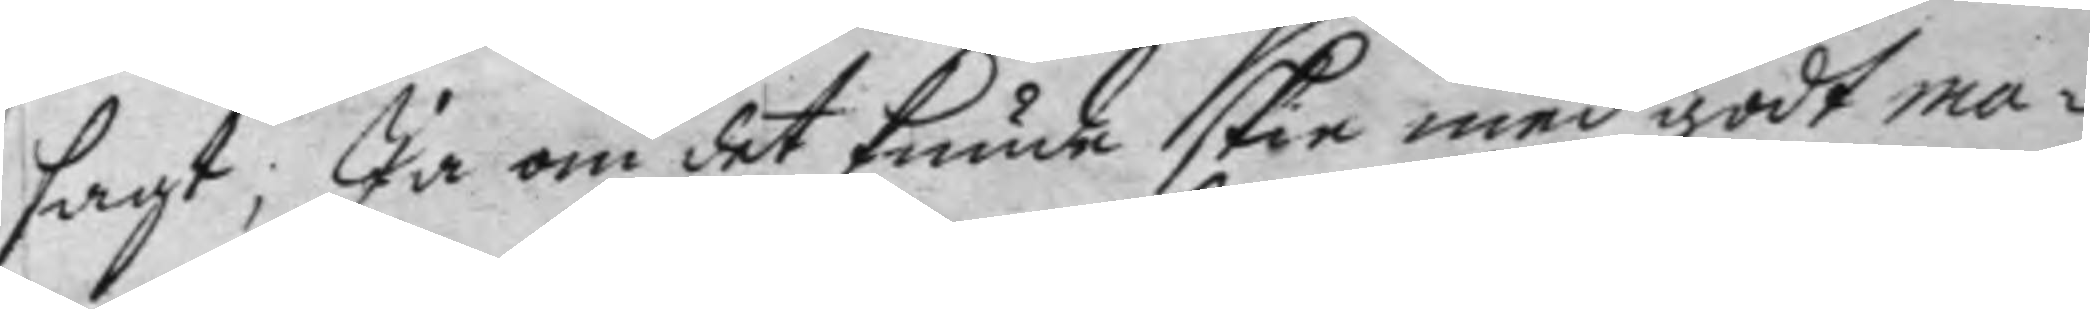sagt; Ja om det kunde skie med godt ma¬
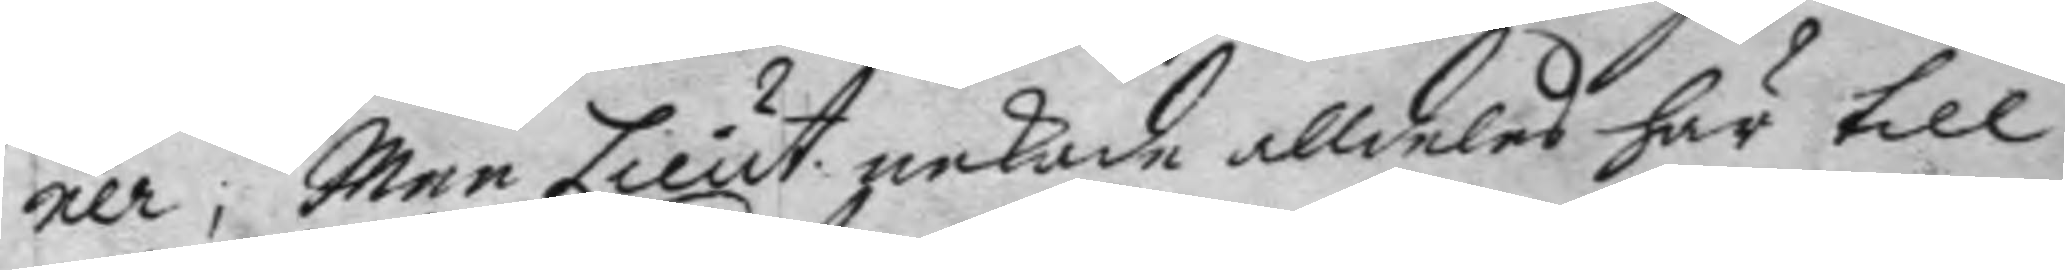ner, Men Lieut. nekade alldeles här till
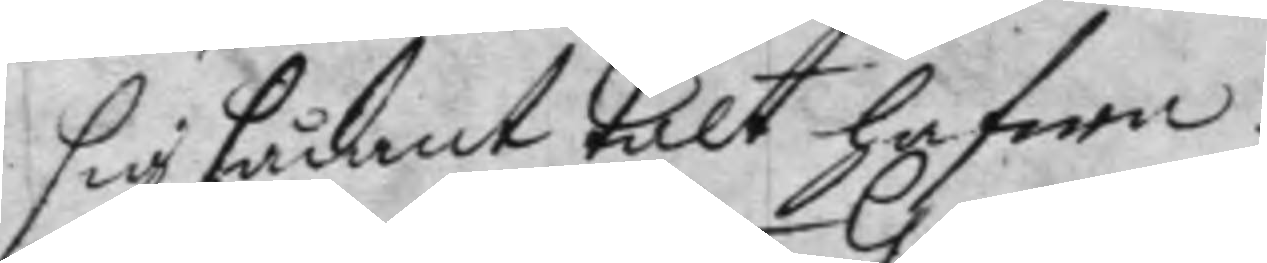sig sådant talt hafwa.
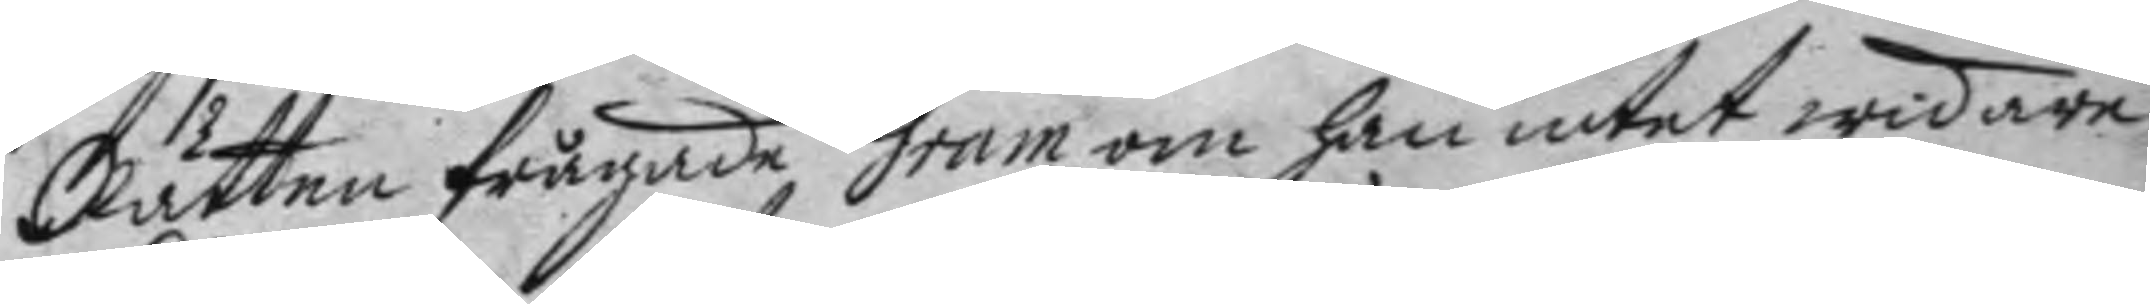Rätten frågade Gram om han intet widare
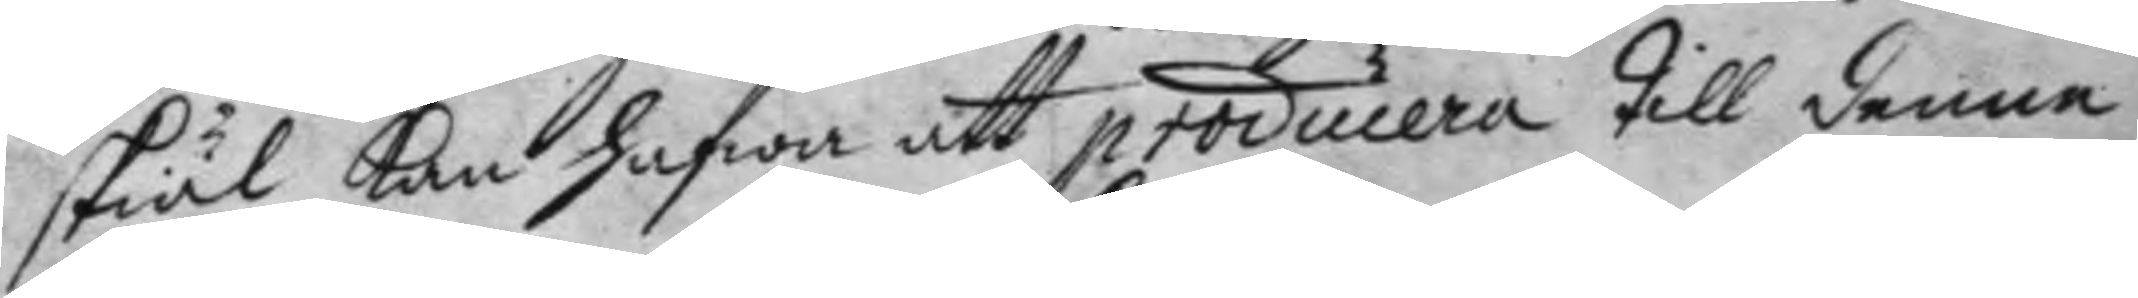skiäl kan hafwa att producera till denne
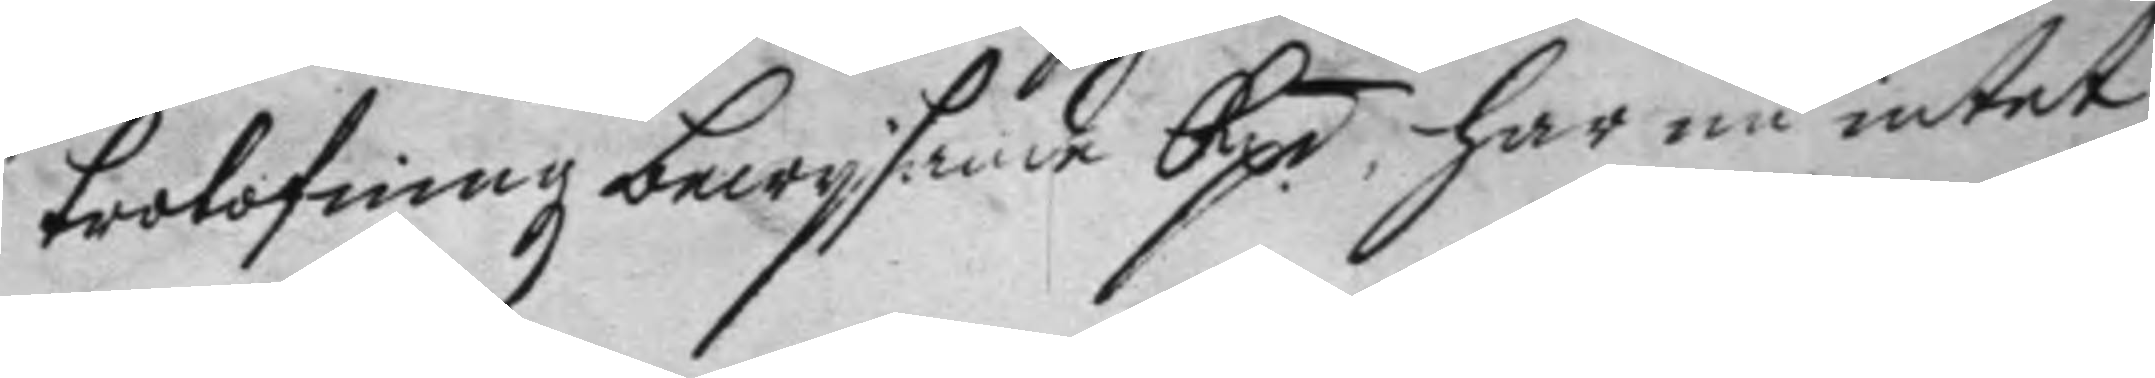trolofningz bewysande Rp. har nu intet
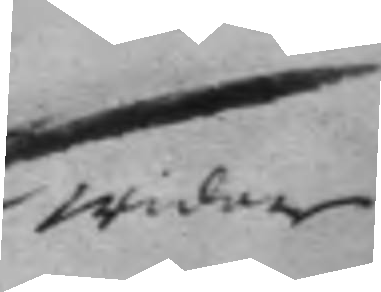widare
